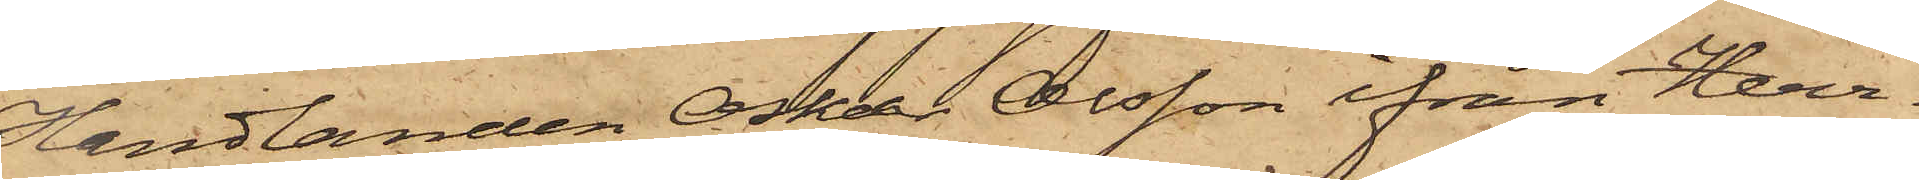Handlanden Oskar Olsson ifrån Herr¬
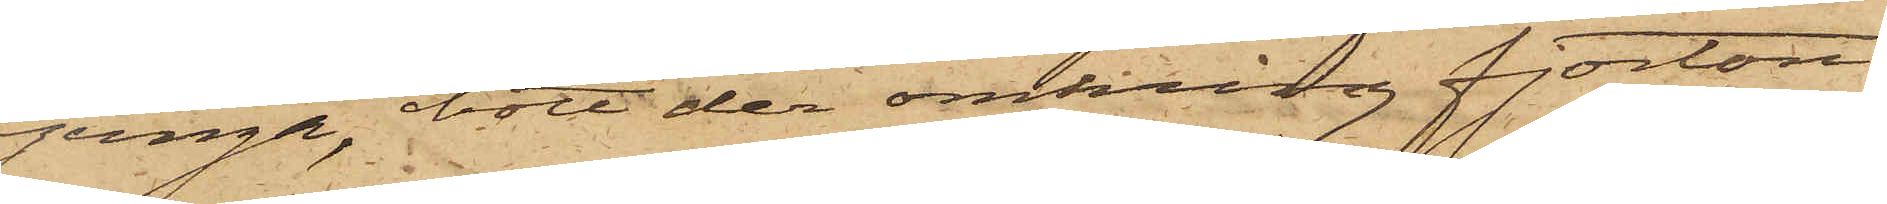ljunga, bott der omkring fjorton
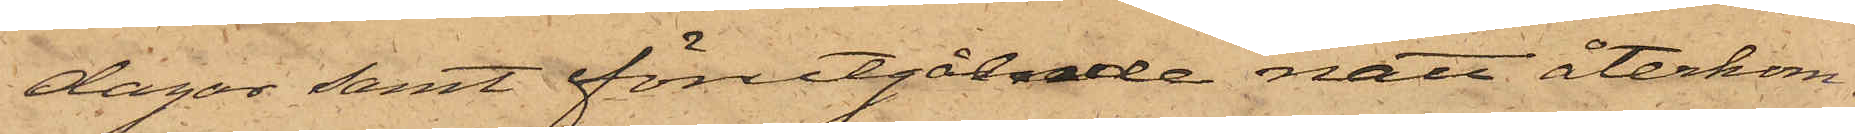dagar samt förutgående natt återkom¬
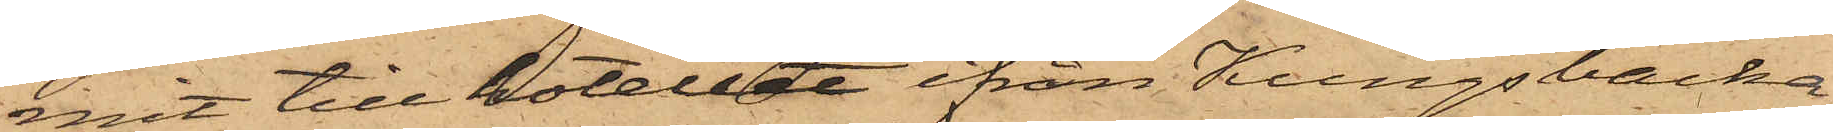mit till hotellet ifrån Kungsbacka,
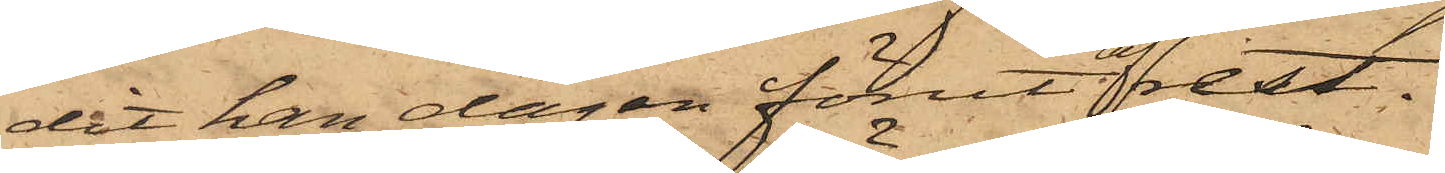dit han dagen förut afrest.
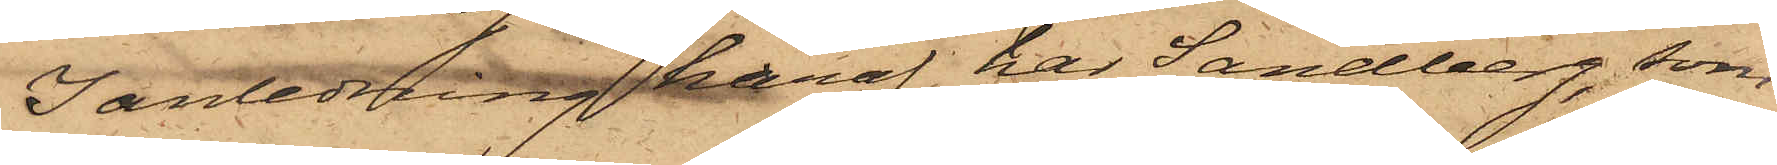I anledning häraf har Sandberg, som
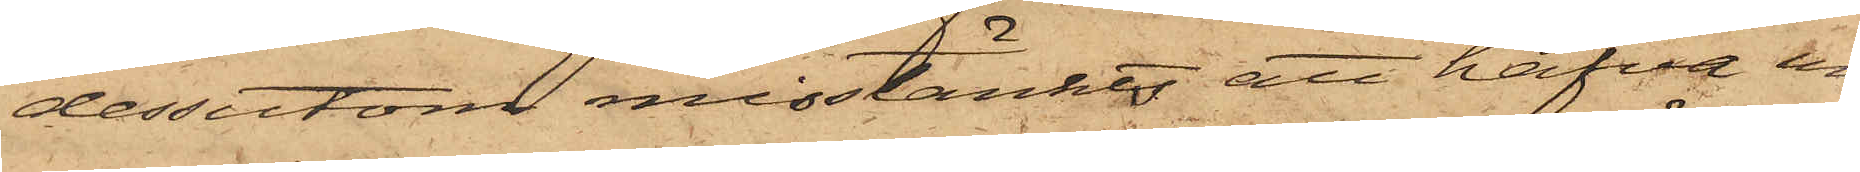dessutom misstänktes att hafva un¬
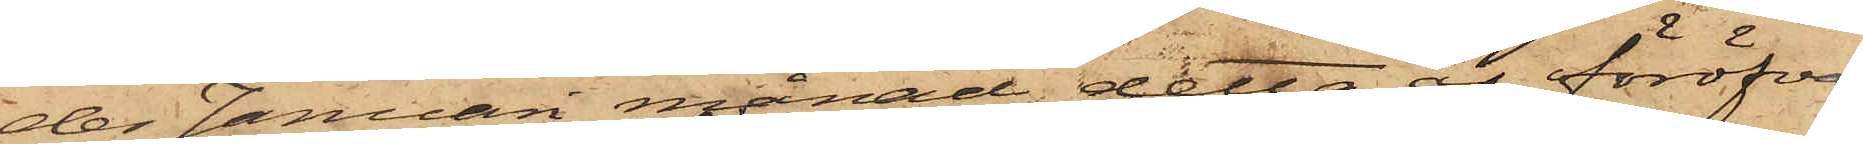der Januari månad detta år föröfvat
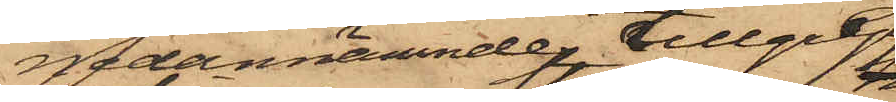nedannämnde tillgrepp,
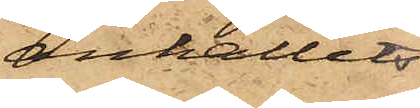anhållits
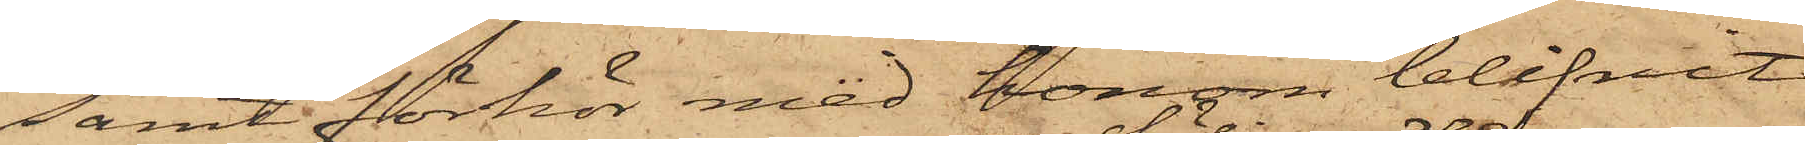samt förhör med honom blifvit
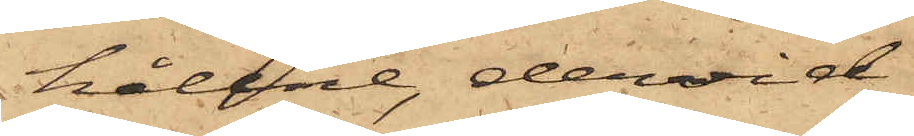hållne, dervid
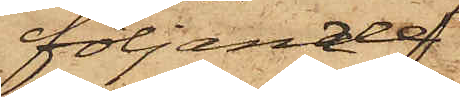följande
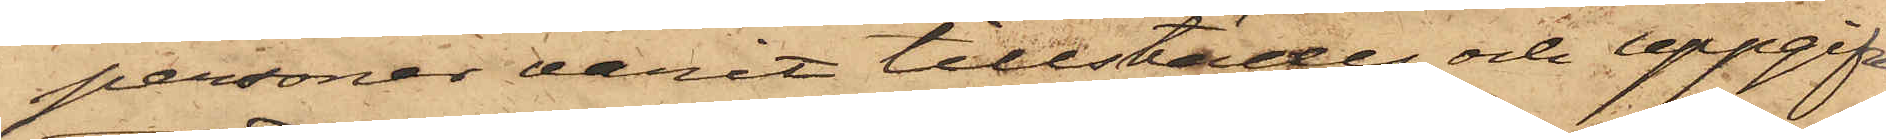personer varit tillstädes och uppgifvit:
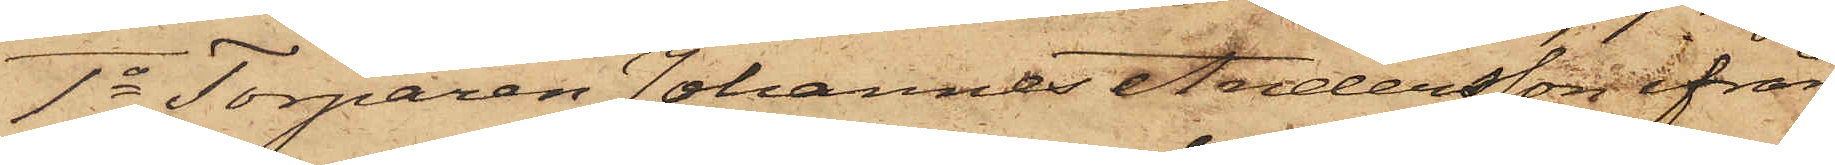1o Torparen Johannes Andersson ifrån
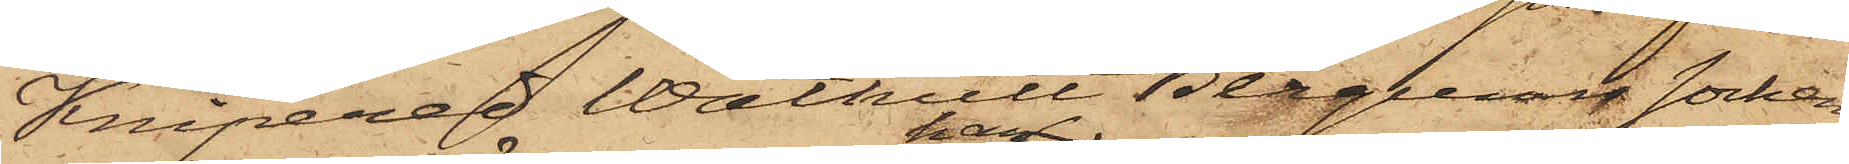Knipered Wåthult Bergums Socken
